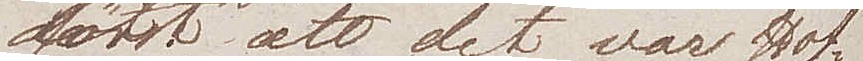först att det var Hof¬
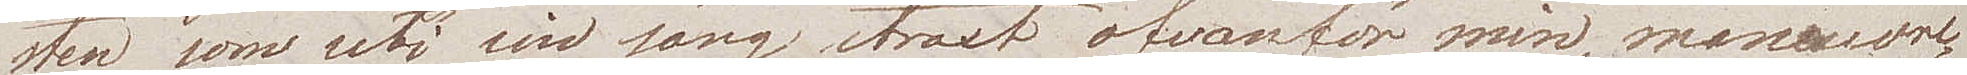sten som, uti sin säng straxt ofvanför min, manœuvre¬
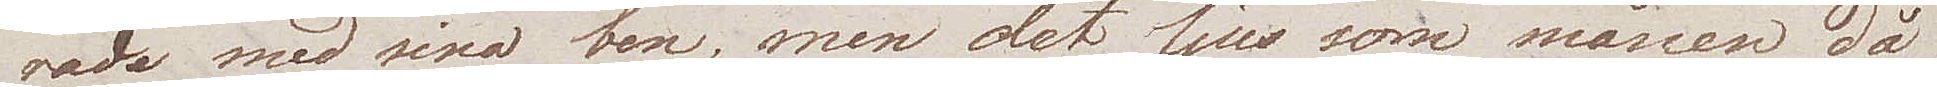rade med sina ben, men det ljus som månen då
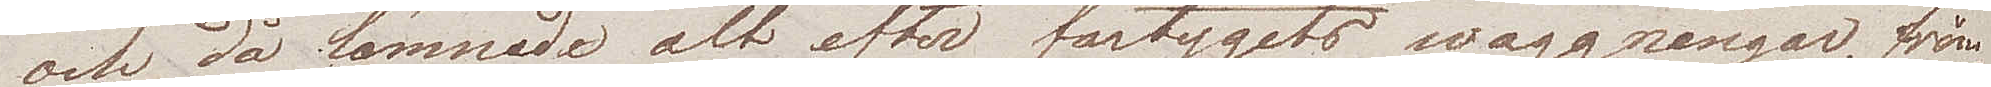och då lämnade alt efter fartygets waggningar, för¬
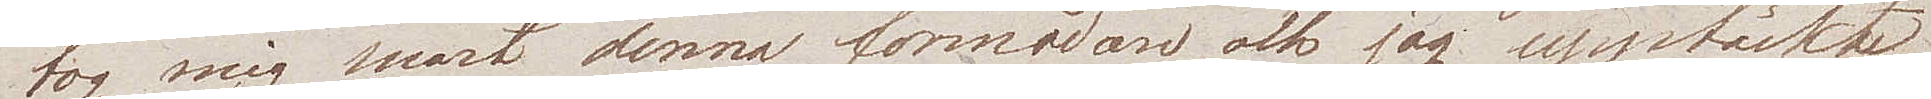tog mig snart denna förmodan, och jag upptäckte
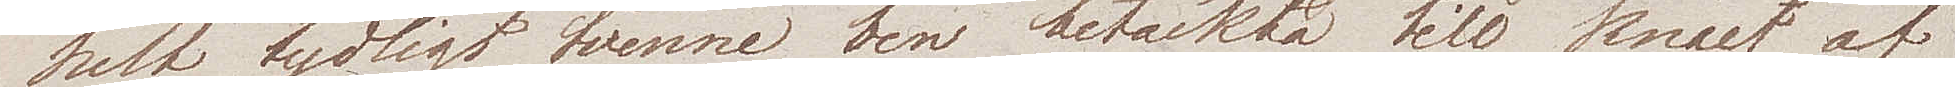helt tydligt tvenne ben betäckta till knäet af 
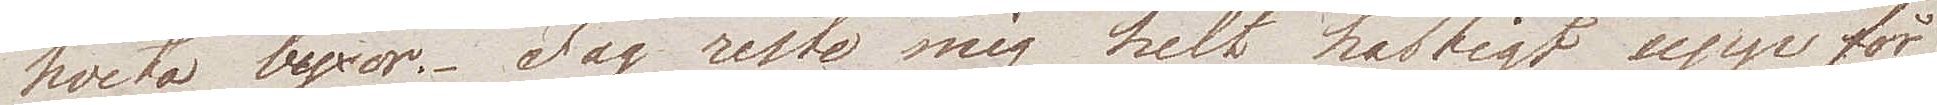hvita byxor. Jag reste mig helt heftigt upp för
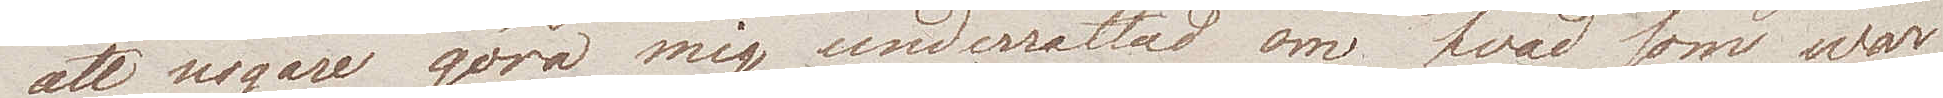att nogare göra mig underrättad om hvad som war
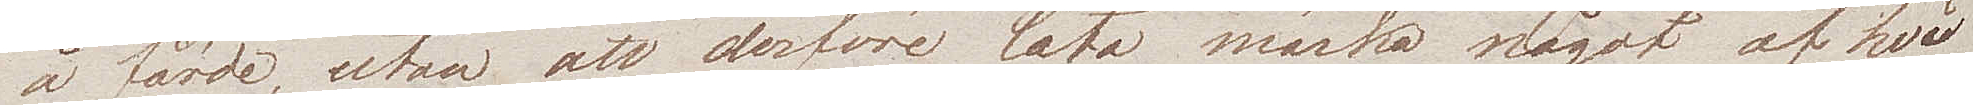å färde, utan att derföre låta märka något af hvad
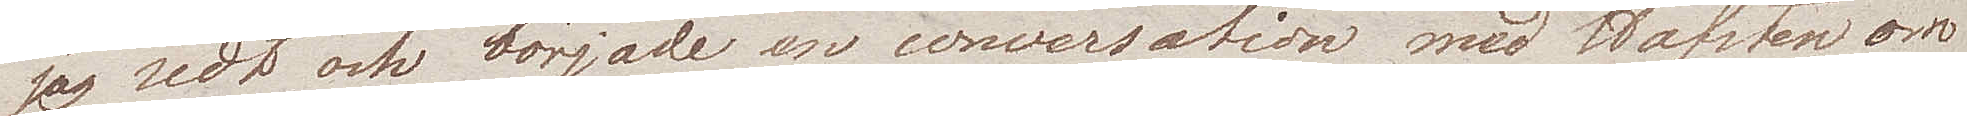jag sedt och började en conversation med Hofsten om
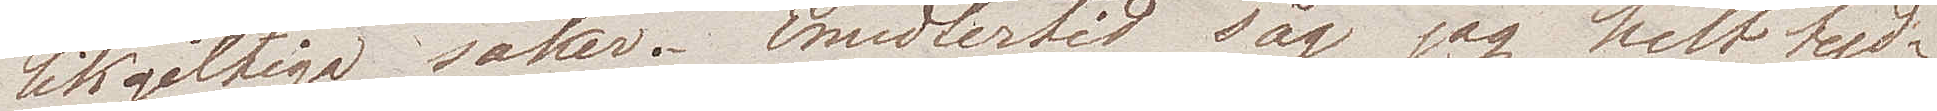likgiltiga saker. Emedlertid såg jag helt tyd¬
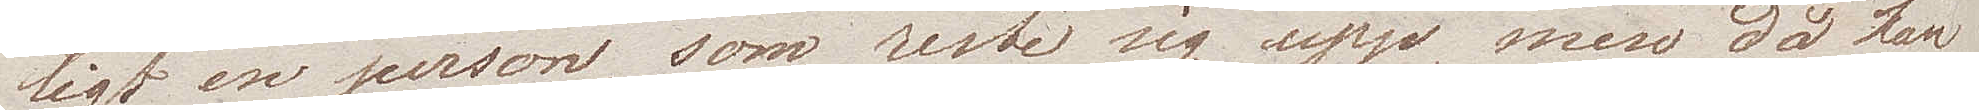ligt en person, som reste sig upp, men då han
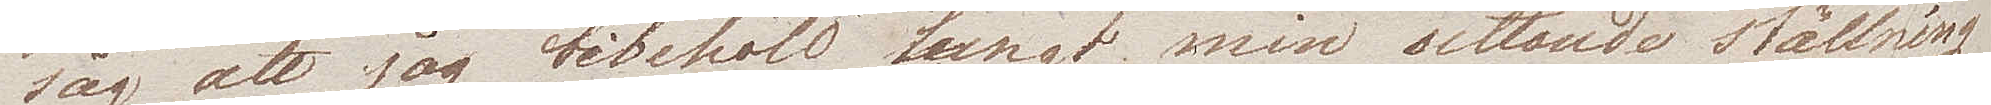såg att jag bibehöll lungt min sittande ställning
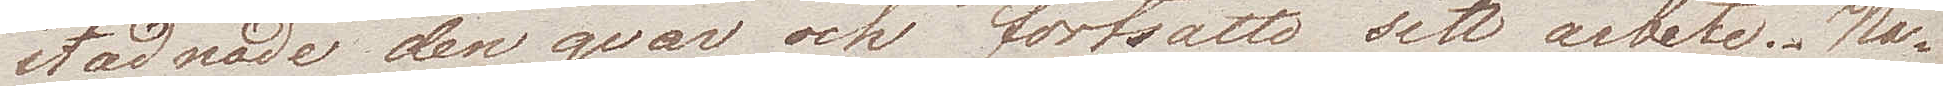stadnade den qvar och fortsatte sitt arbete. Na¬
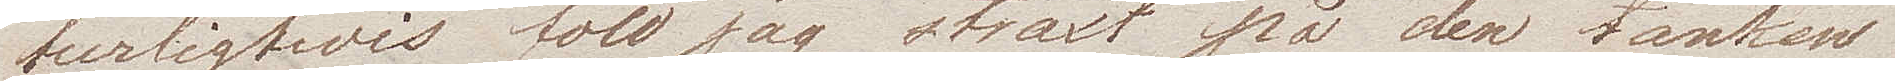turligtvis föll jag straxt på  den tanken
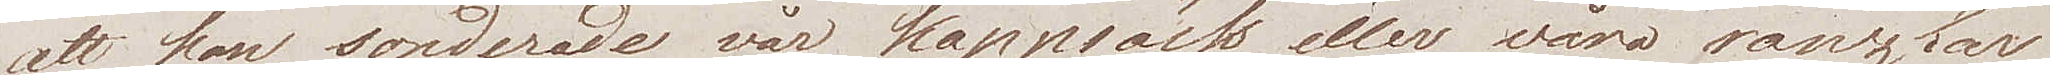att han sonderade vår kappsäck eller våra ränzlar
